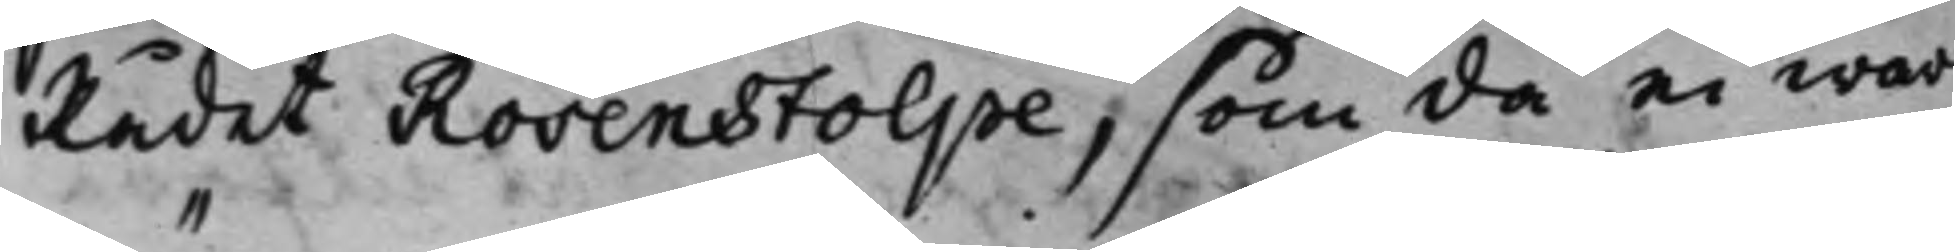Rådet Rosenstolpe, som, då ei war
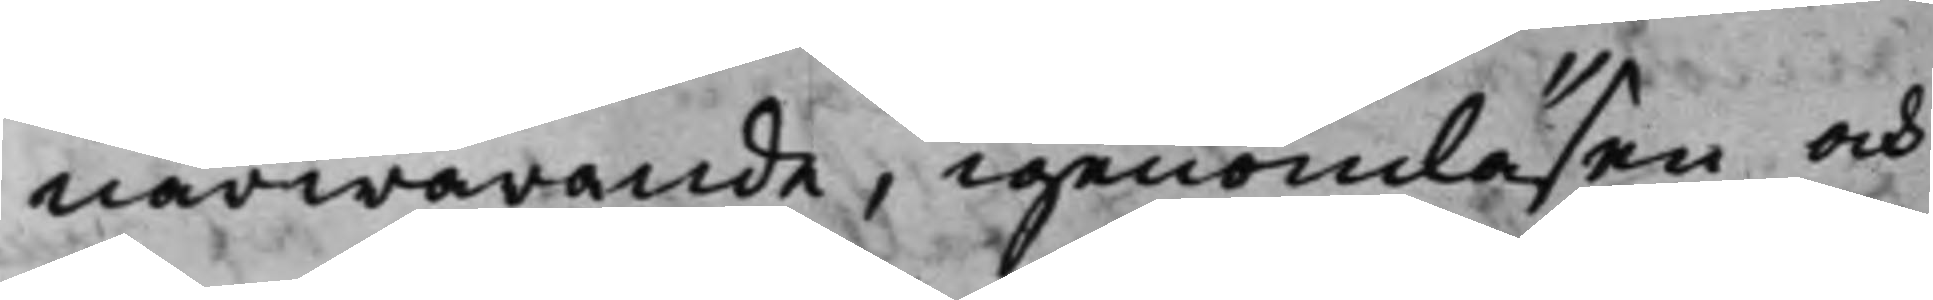närwarande, igenomläsen och
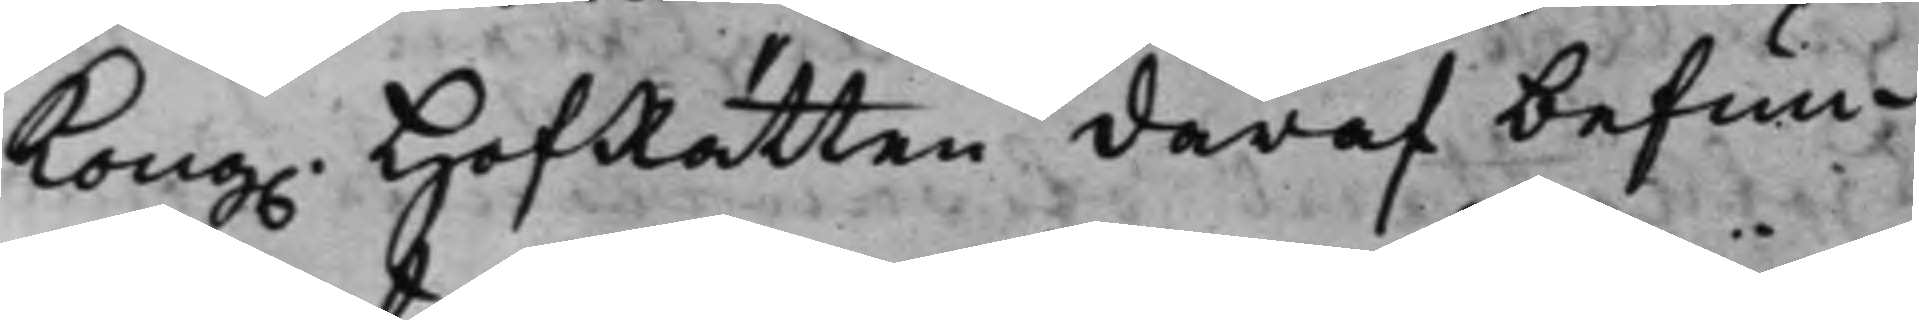Kong. HofRätten däraf befun¬
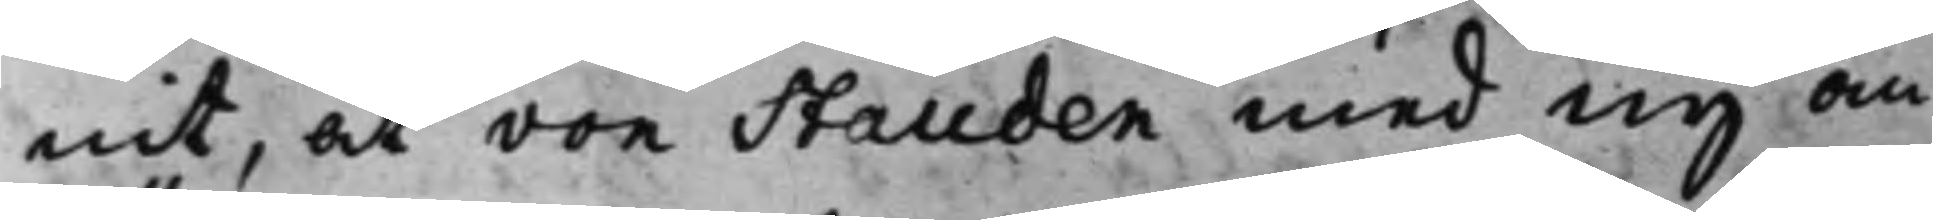nit, at von Stauden med ny an¬
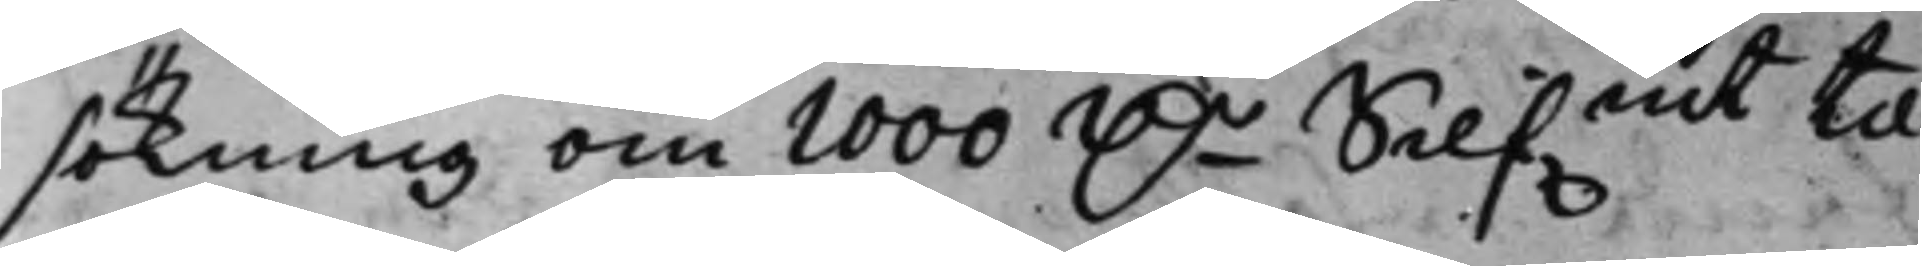sökning om 1000 D.r Silf.mt til
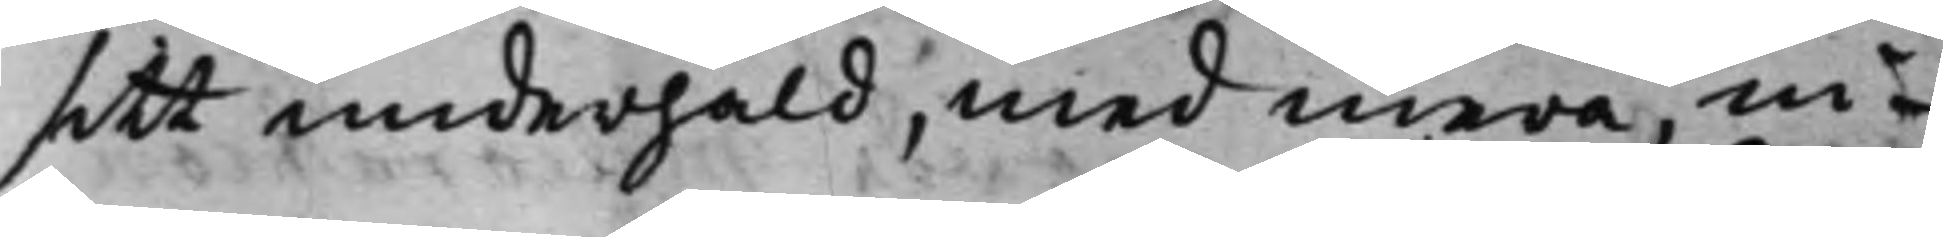sitt underhåld, med mera, in¬
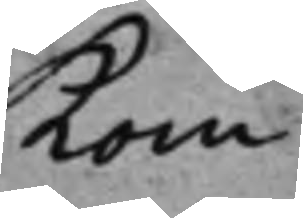kom¬
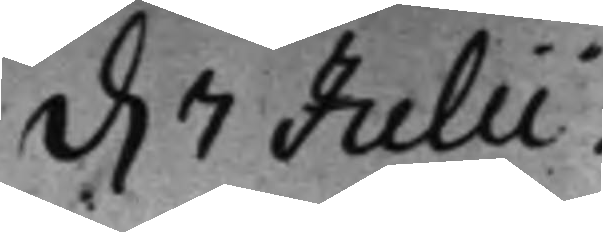d. 7 Julii.
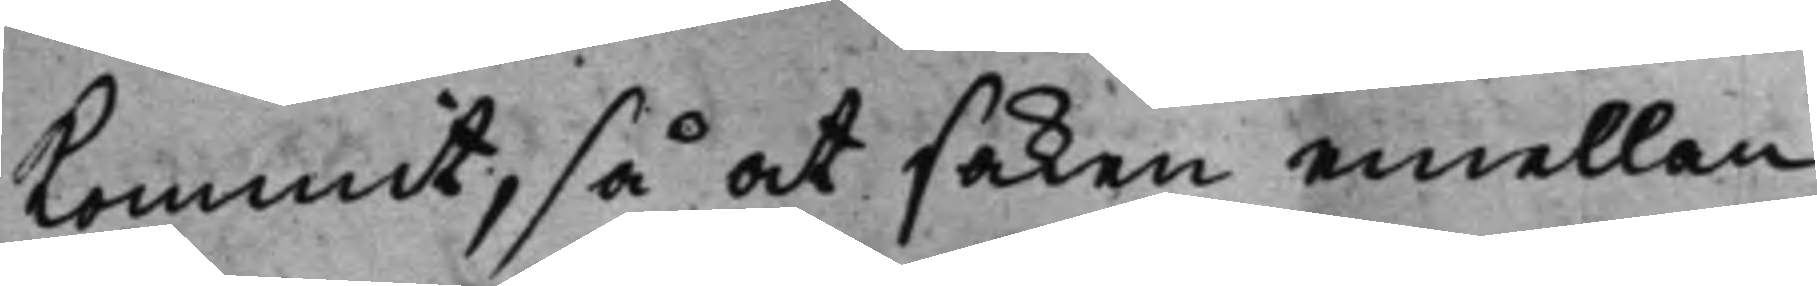kommit, så at saken emellan
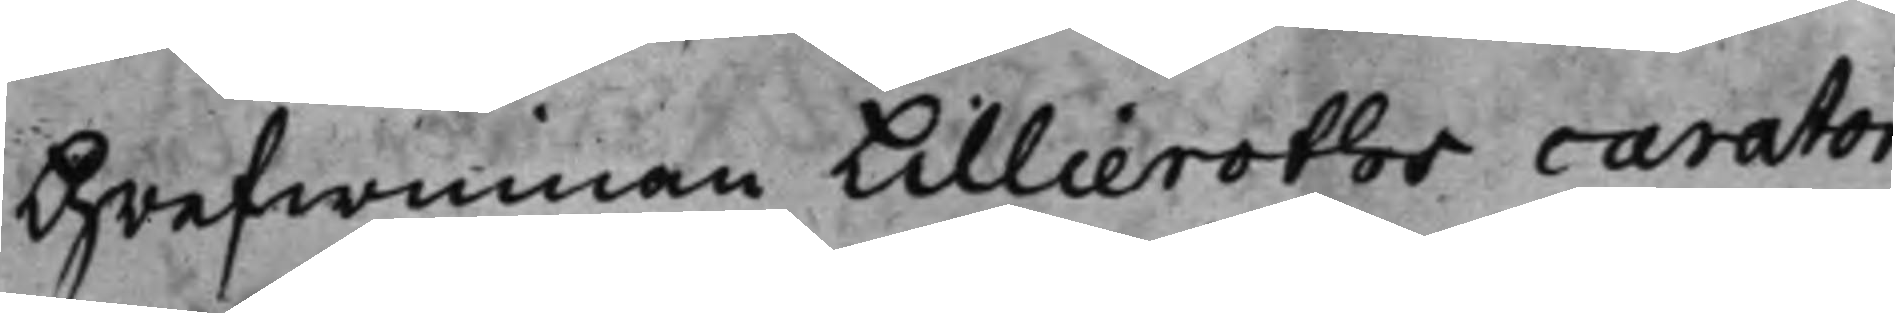Grefwinnan Lillieroths curator
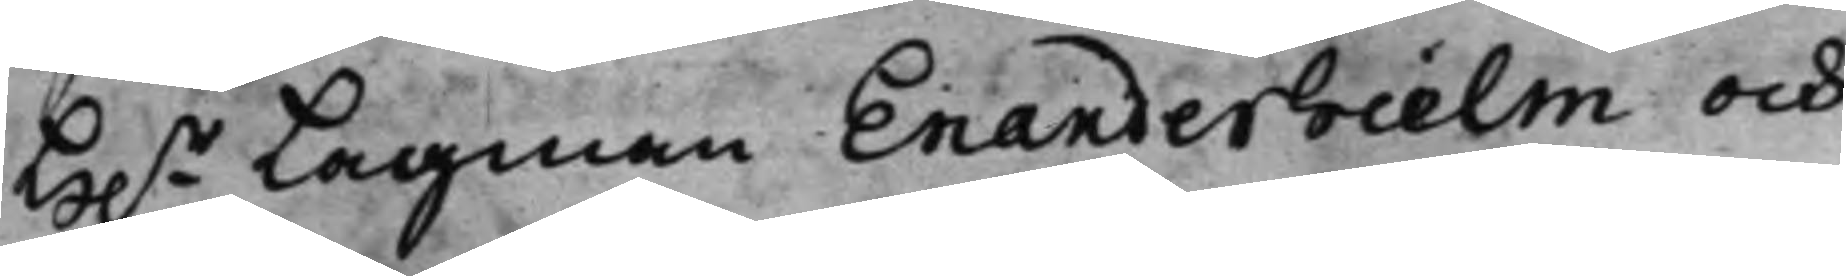H.r Lagman Enanderhielm och
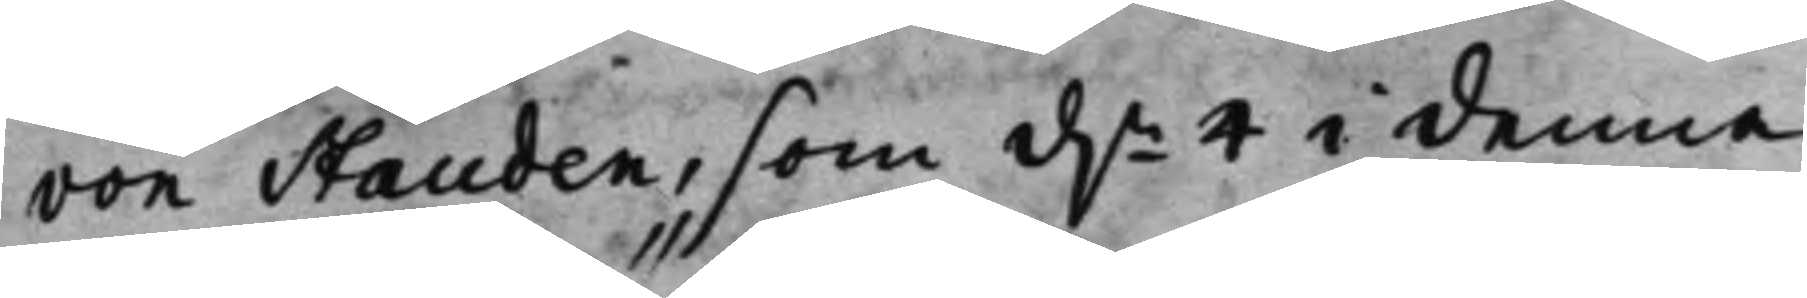von Stauden, som d.n 4 i denna
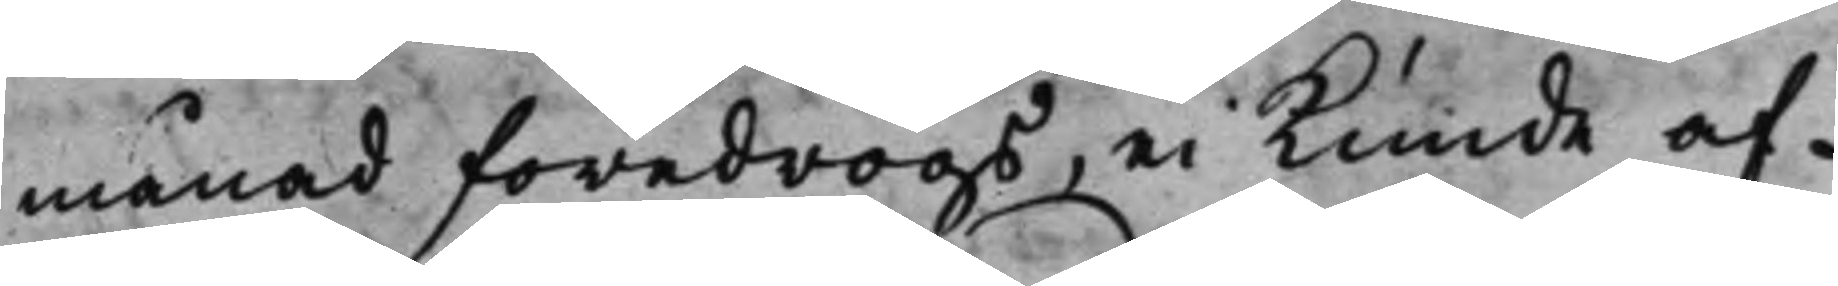månad föredrogs, ei kunde af¬
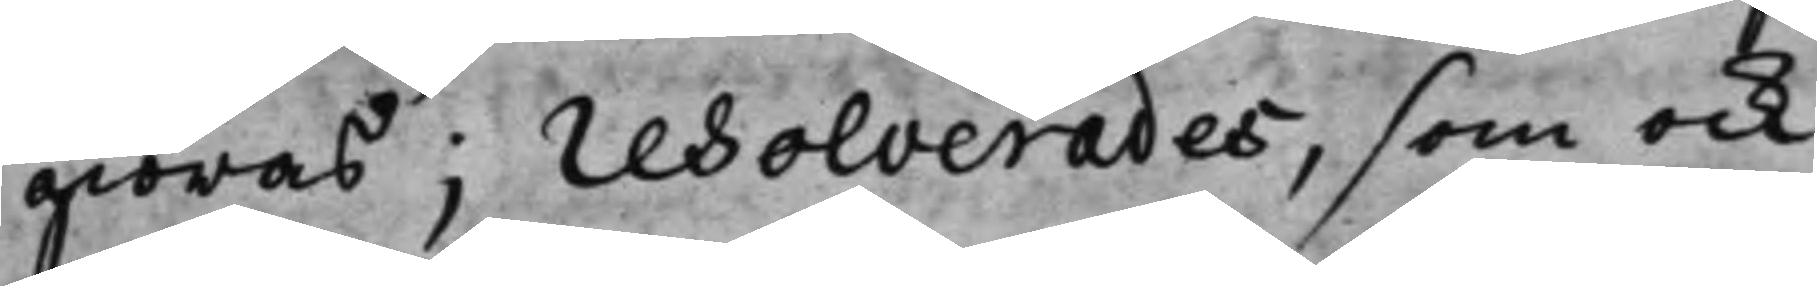giöras; resolverades, som ock
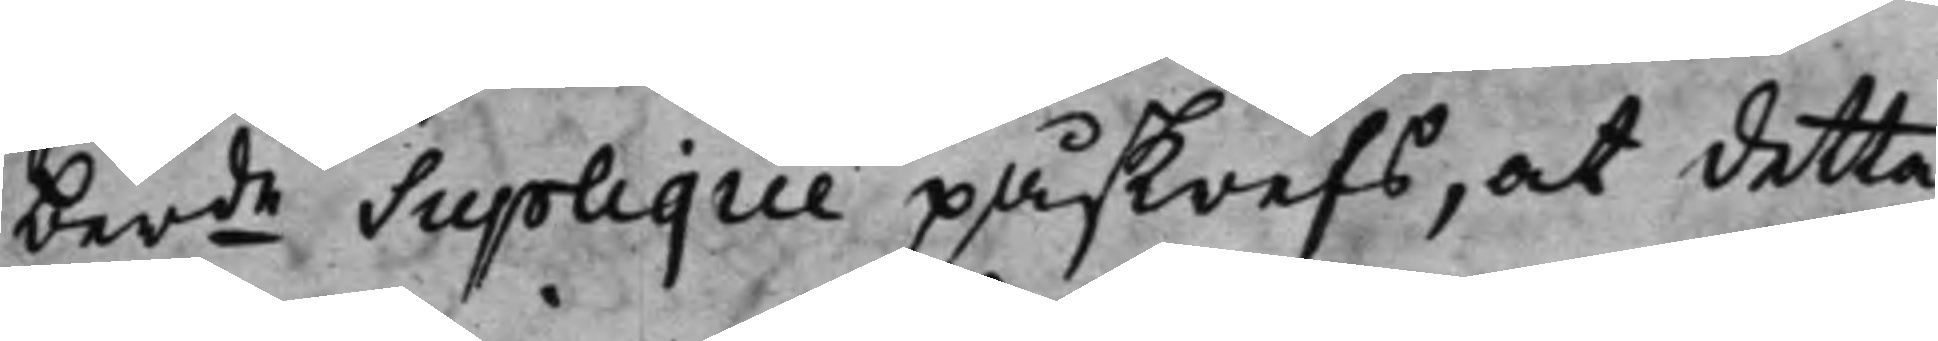berde Suplique påskrefs, at detta
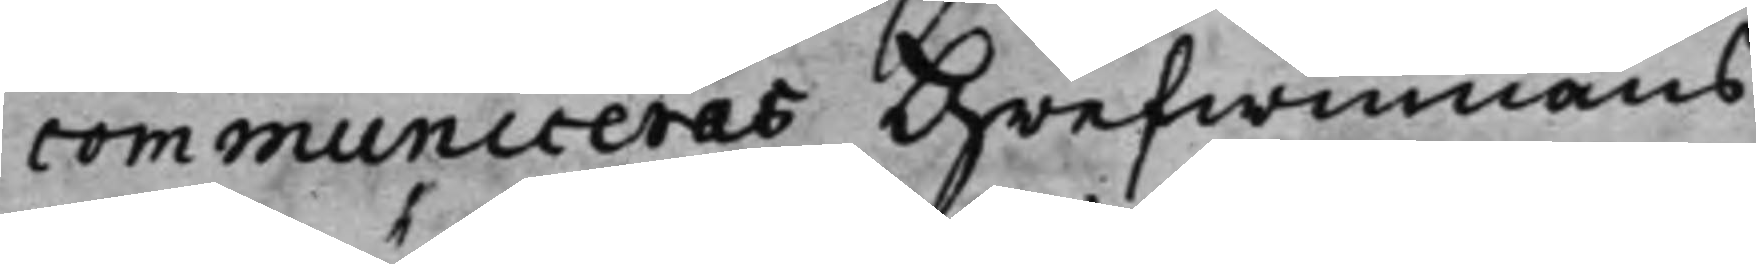communiceras Grefwinnans
